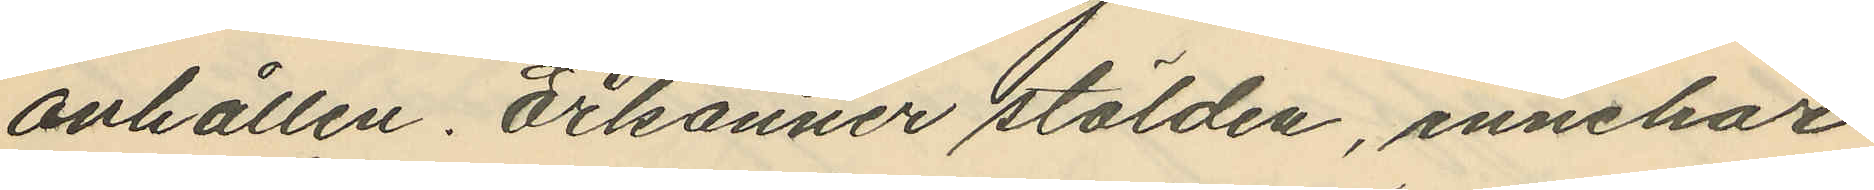anhållen. Erkänner stölden, innehar
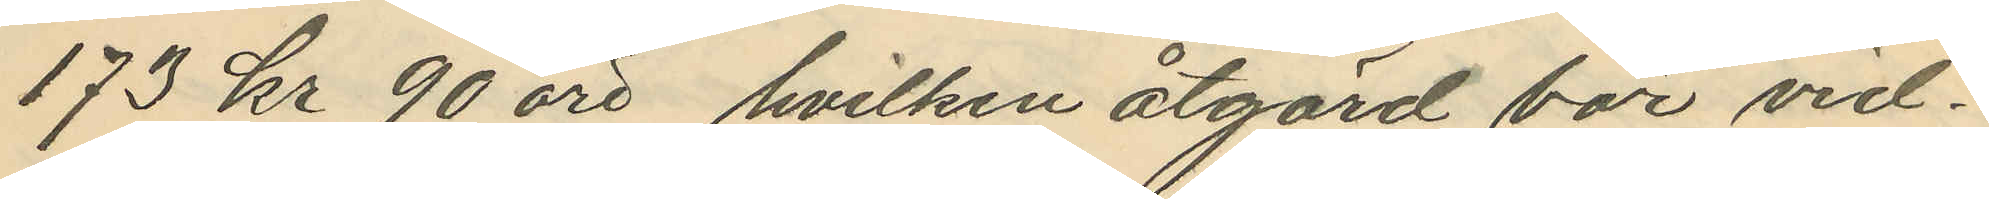173 kr 90 öre, hvilken åtgård bör vid¬
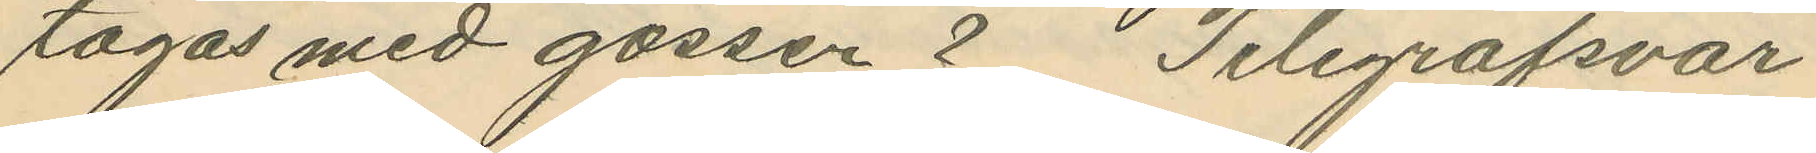tagas med gossen ? Telegrafsvar
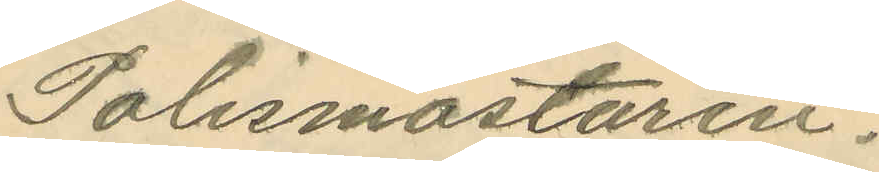Polismästaren.
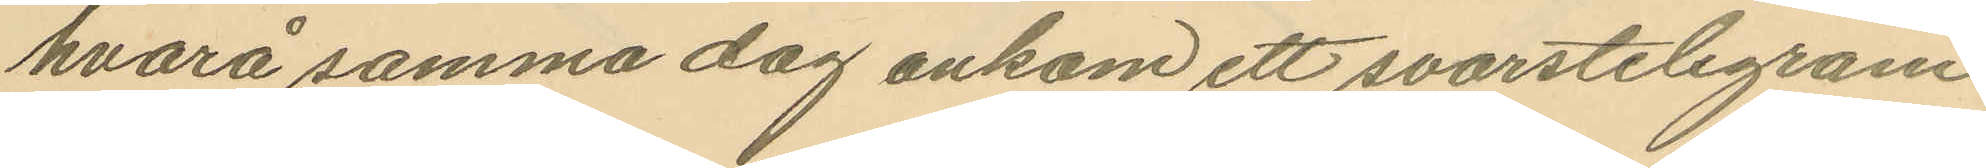hvarå samma dag ankom ett svarstelegram
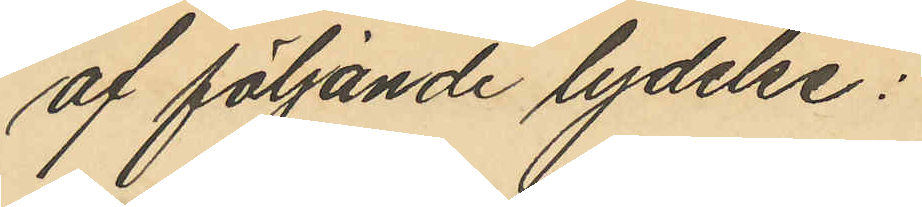af följande lydelse:
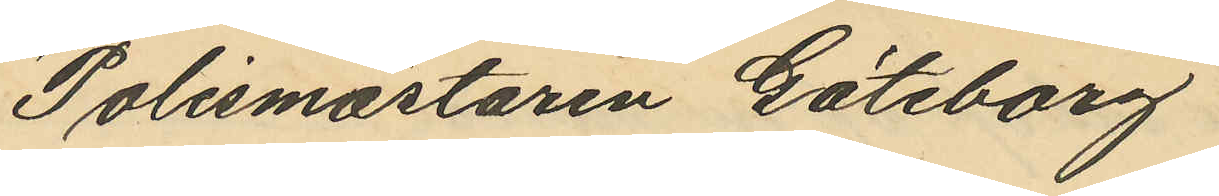"Polismästaren Göteborg
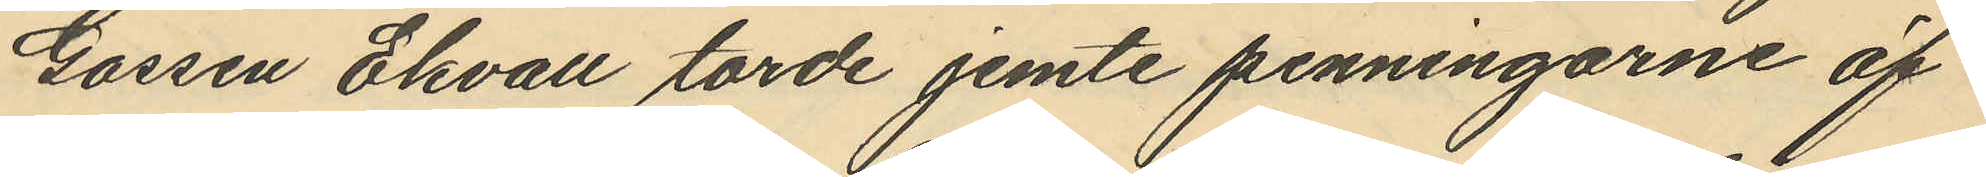Gossen Ekvall torde jemte penningarne öf¬
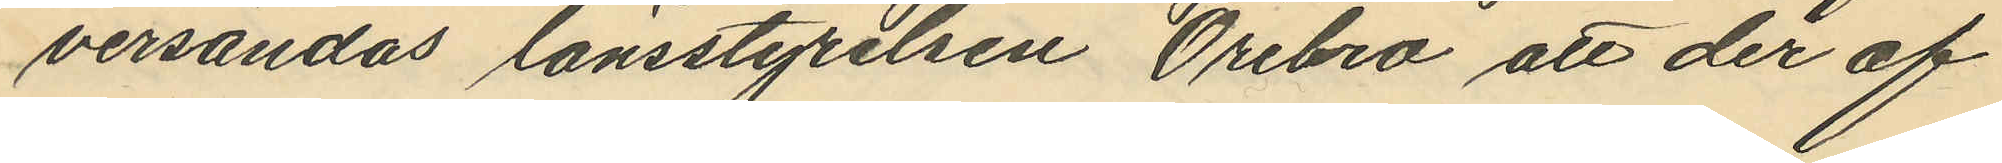versändas länsstyrelsen Örebro att der af
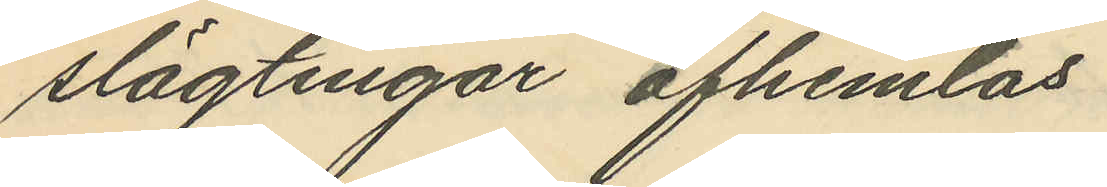slägtingar afhemlas
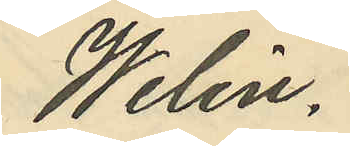Welin."
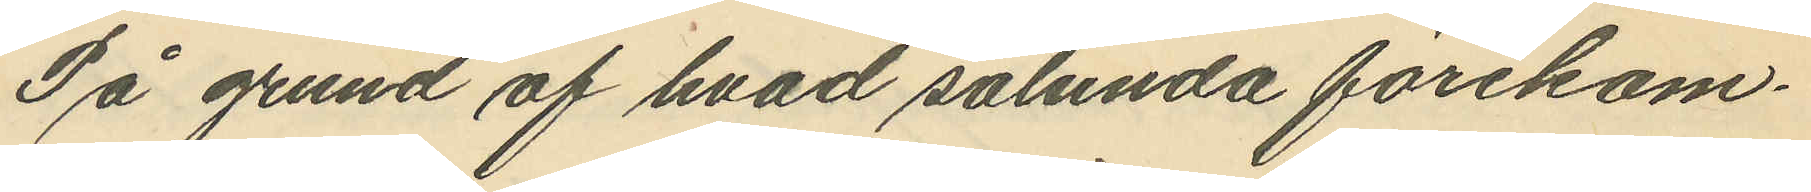På grund af hvad sålunda förekom¬
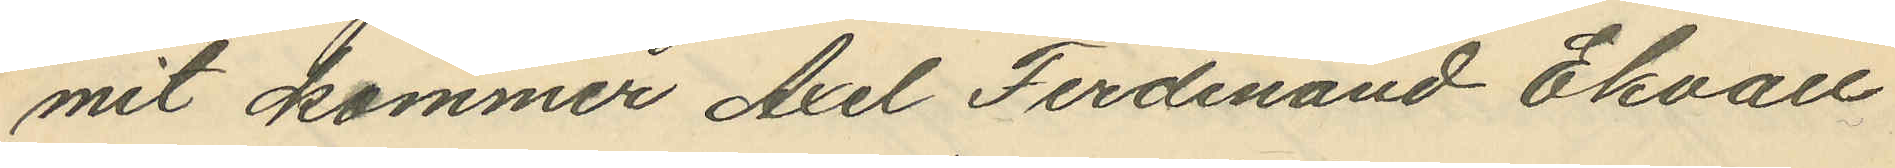mit kommer Axel Ferdinand Ekvall
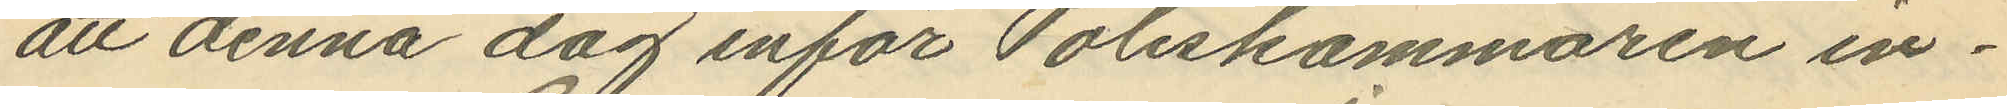att denna dag inför Poliskammaren in¬
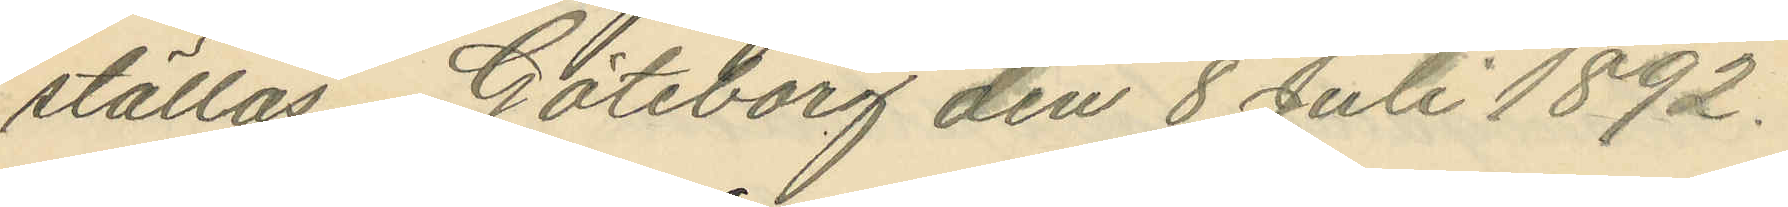ställas. Göteborg den 8 Juli 1892.
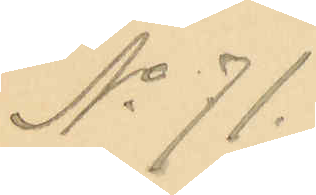No 71.
